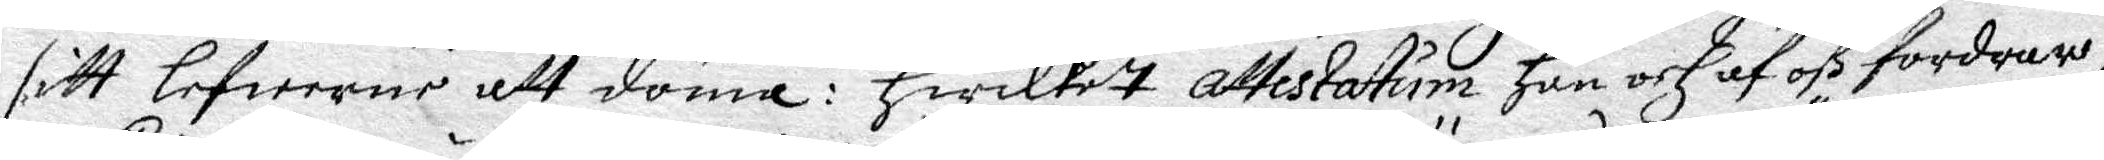sitt Lefwerne att döma: Hwilket Attestatum hon och af oß fordrar;
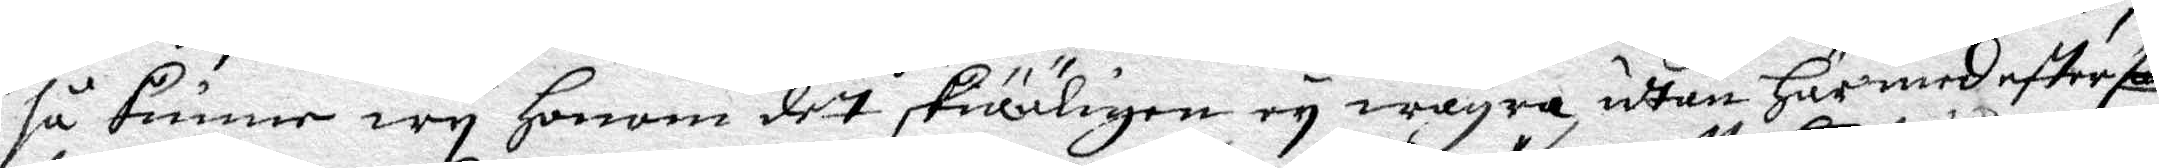så kunne wy honom dett skiäligen ey wägra, udtan härmed efter som
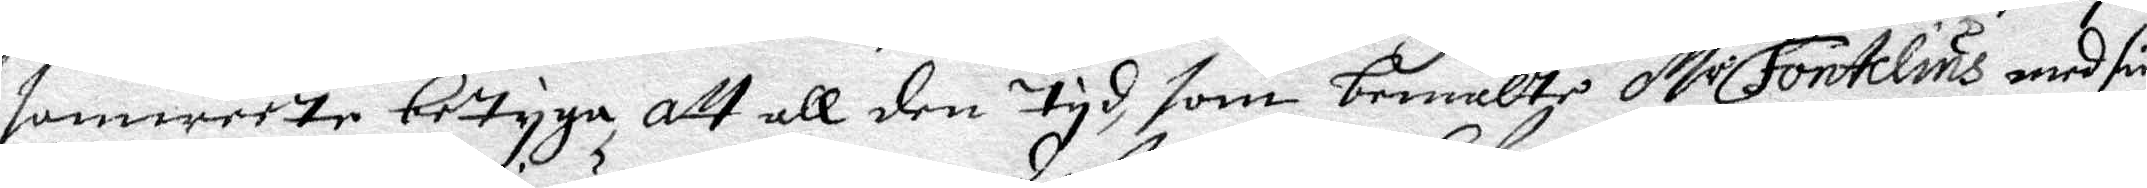samweete betyga, att all den tyd, som bemälte M.r Fontelins med sin
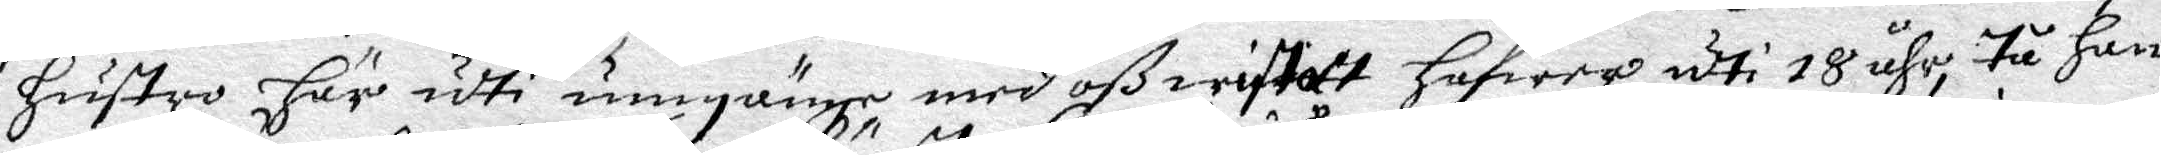hustro här udti umgänge, med oß wistatt hafwer udti 18 åhr, tå han
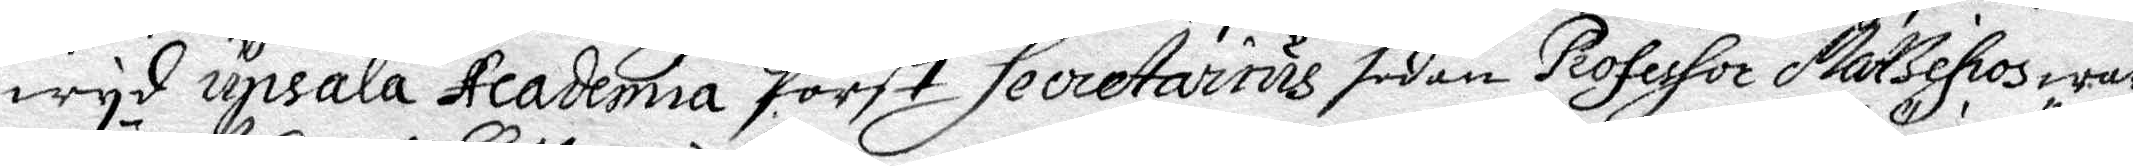wyd Upala Academia först Secretarius sedan Professor Mattepos war
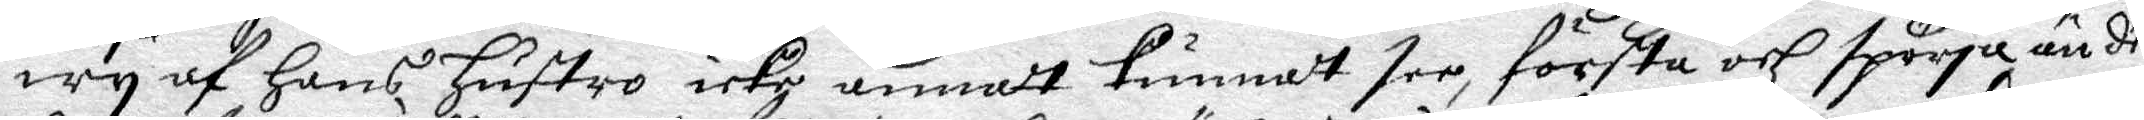Wy af hans hustro icke annat Kunnat see, förstå och spörja än det
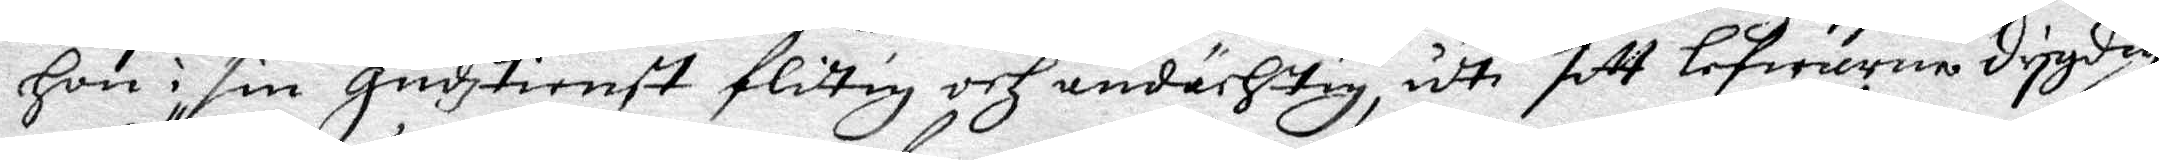hon i sin Gudztienst flitig och andächtig, udti sitt Lefwerne drygdig
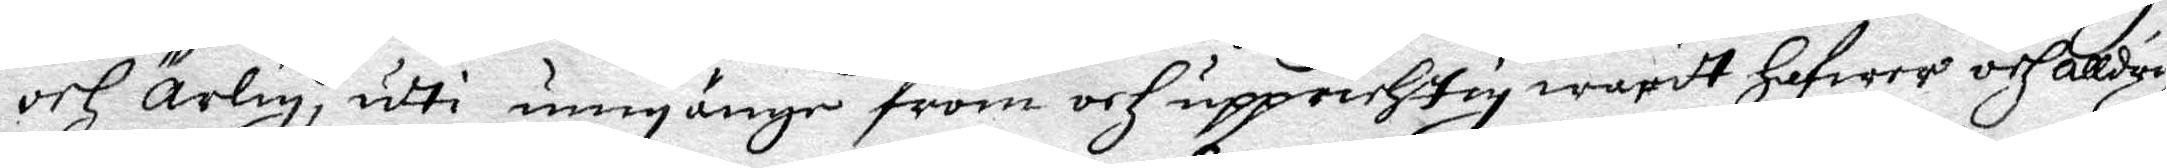och ärlig, udti umgänge from och upprichtig waritt hafwer och alldrig
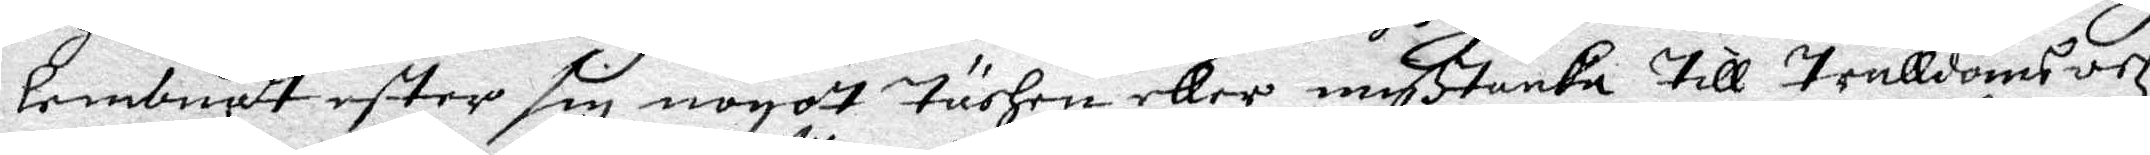lembnatt efter sig nogot turhen eller mißtanka till Trulldoms och
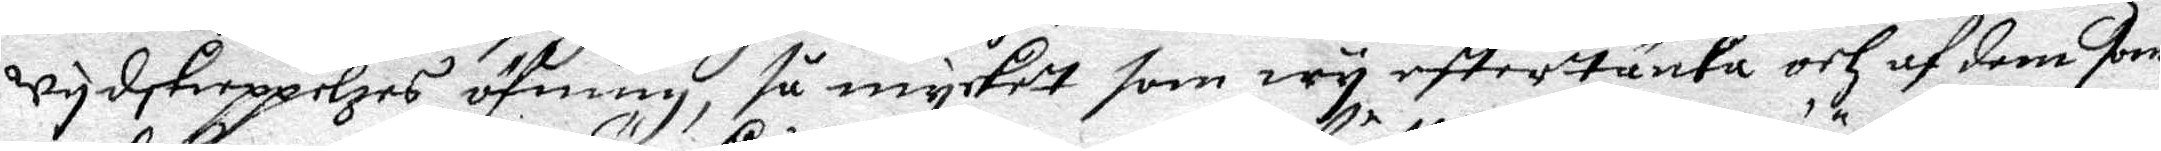Wydskieppelzes öfninn, så mycket som wy eftertänka och af dem som
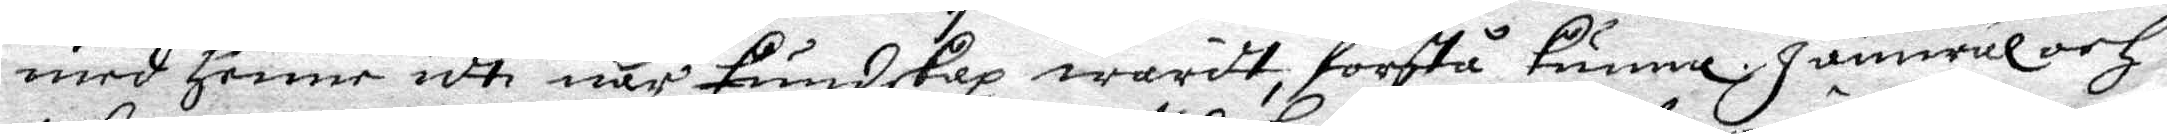med henne udte när Kundskap waritt, förstå kunna, jämwäl och
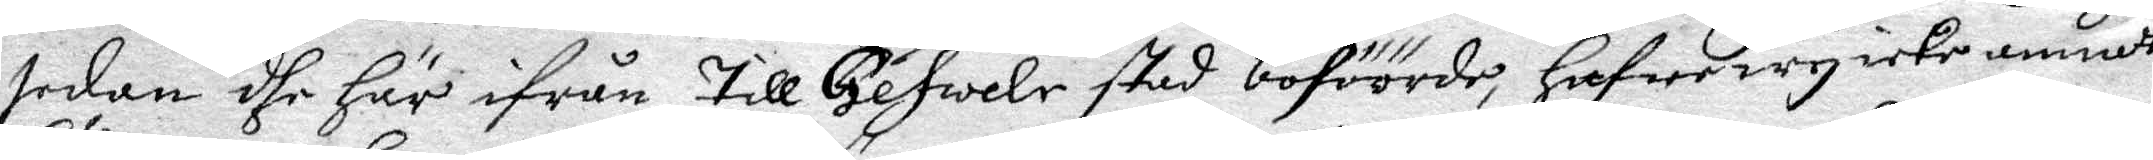sedan dhe här ifrån till Gewele stad boföörde, hafwe wy icke annadt
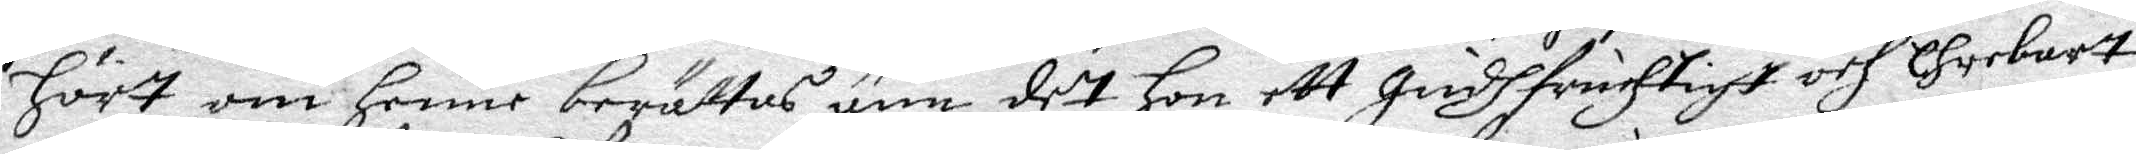hört om henne berättas änn det hon ett Gudhfruchtigt och Ehrebart
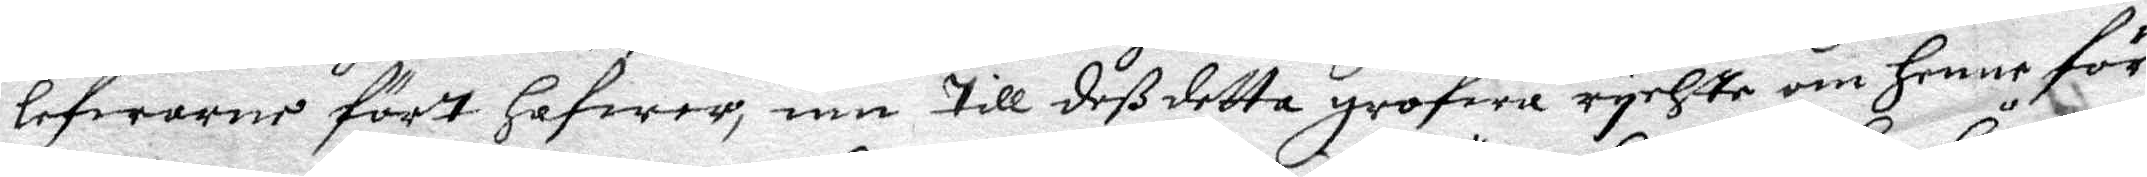lefwerne fört hafwer, inn till deß detta grofwa rychte om henne för
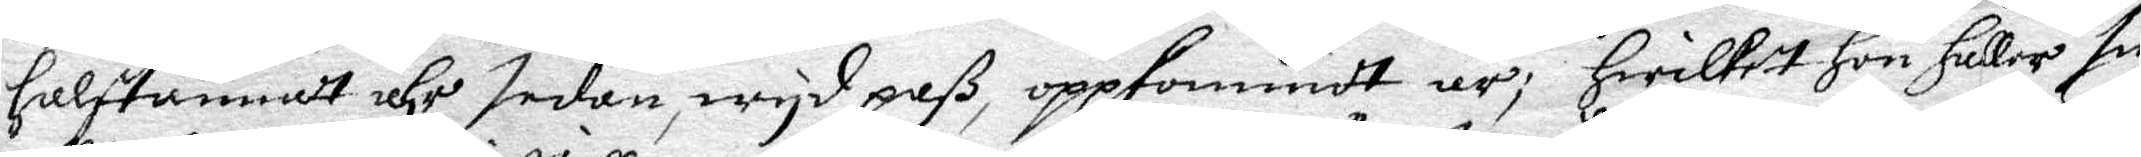halftannat åhr sedan wyd paß, oppkommidt är, hwilket hon håller sig
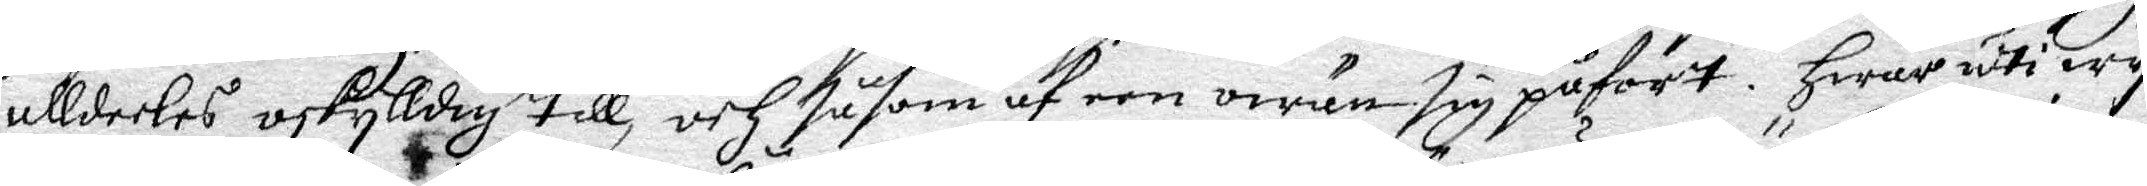allderles oskylldig till, och såsom af een owän sig påfört. Hwar udti wy
